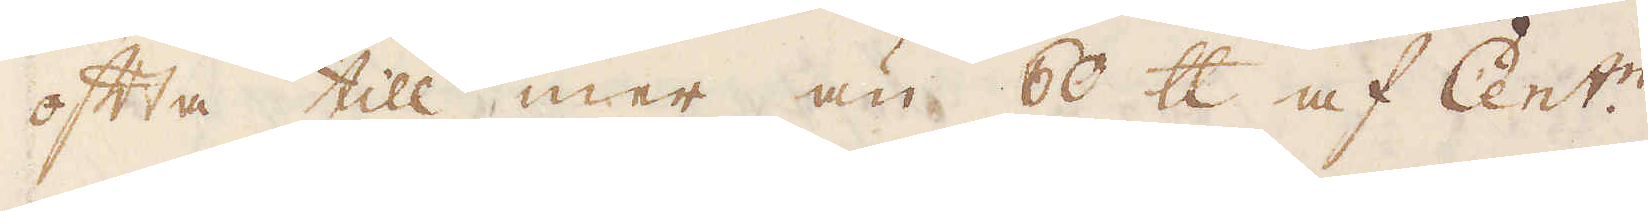ofta till mer än 60 skålpund af Cent:n.
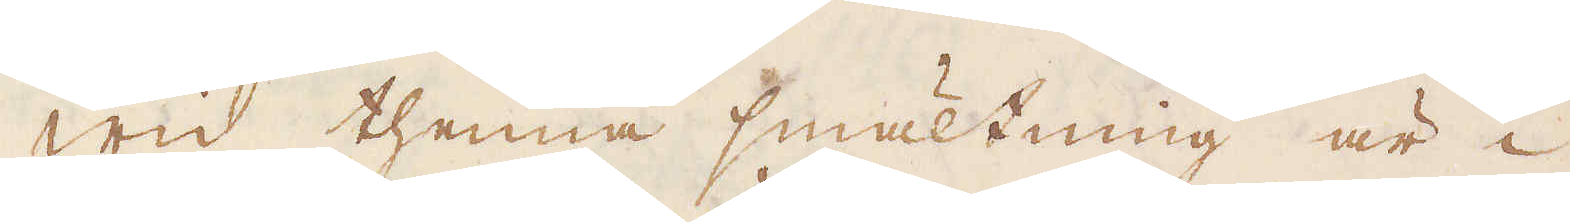Wid thenna smältning är i
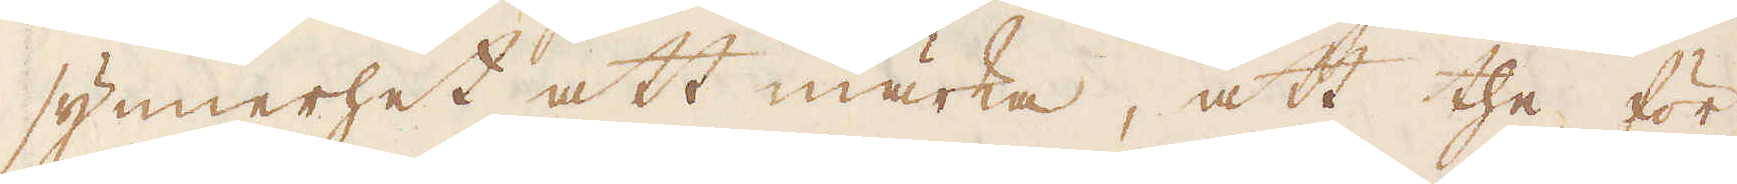synnerhet att märka, att the för
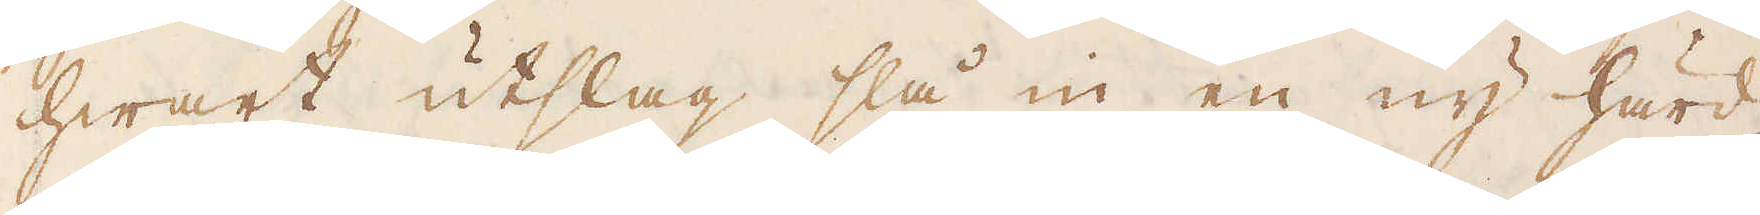hwart utslag slå in en ny härd,
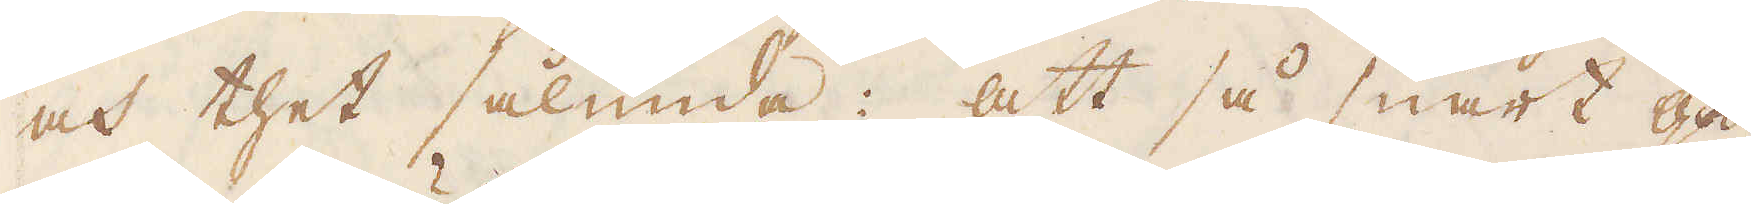och thet sålunda: att så snart god-
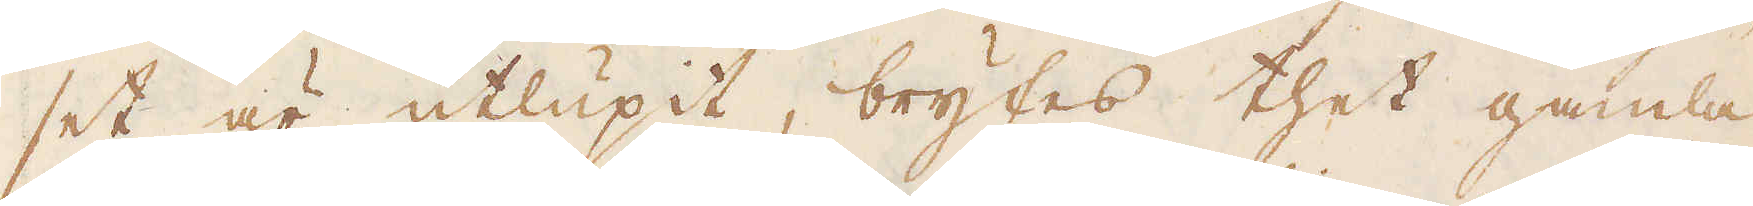set är utlupit, brytes thet gamla
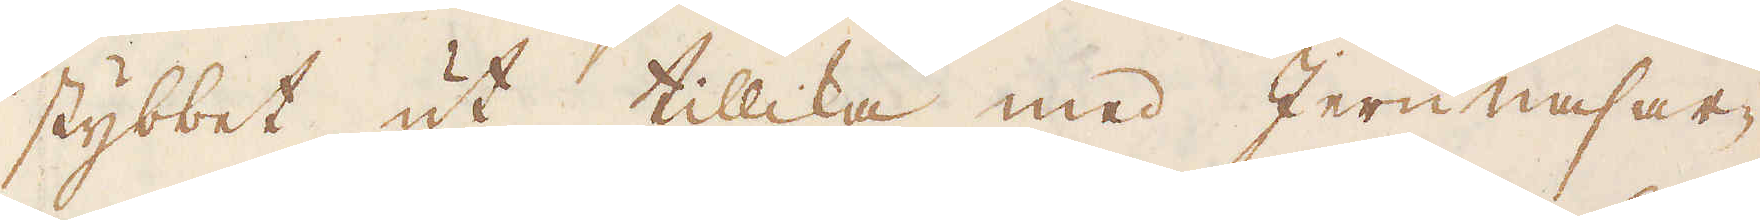stybbet ut tillika med Jern nasar-
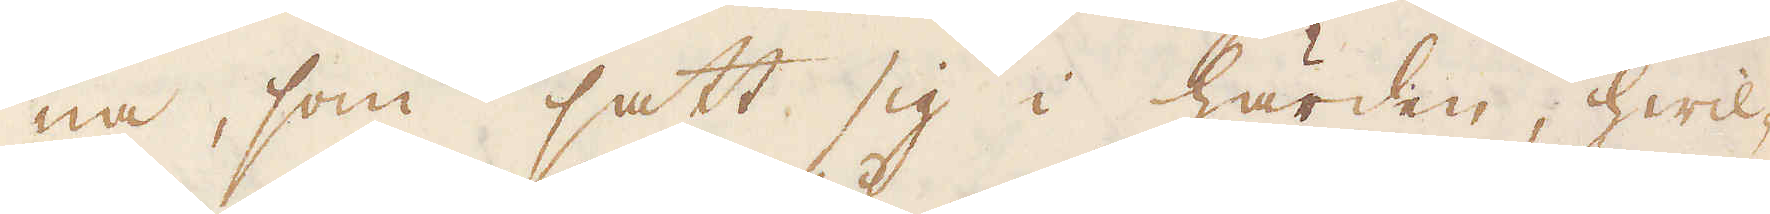na, som satt sig i härden, hwil-
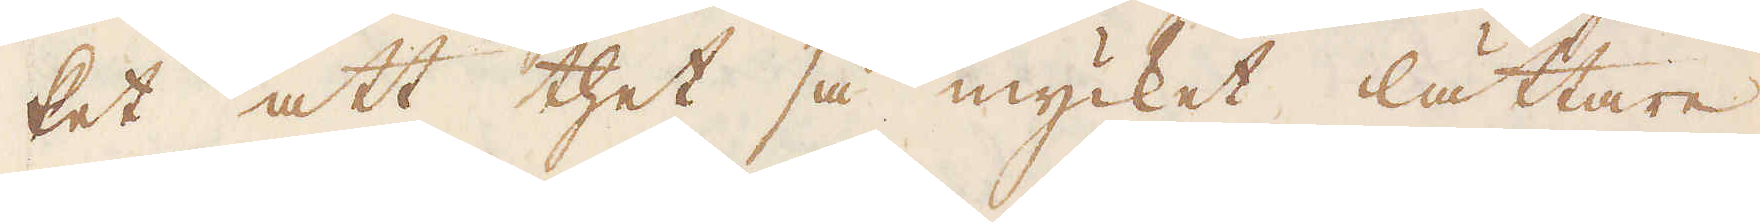ket att thet så mycket lättare
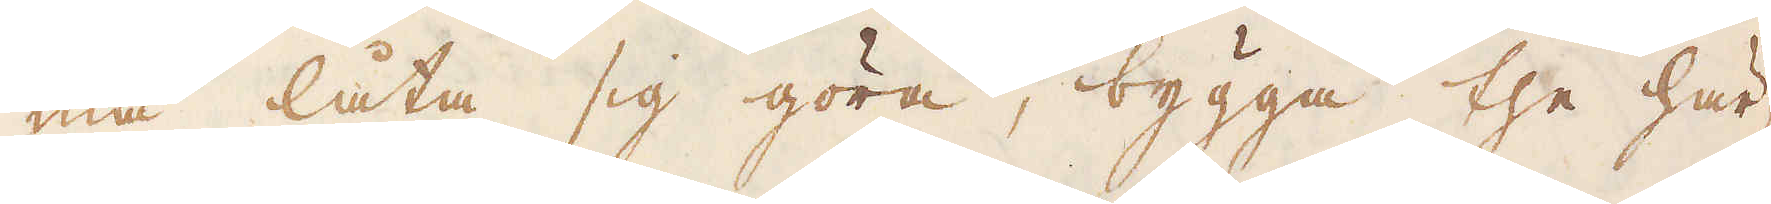må låta sig göra, bygga the här-
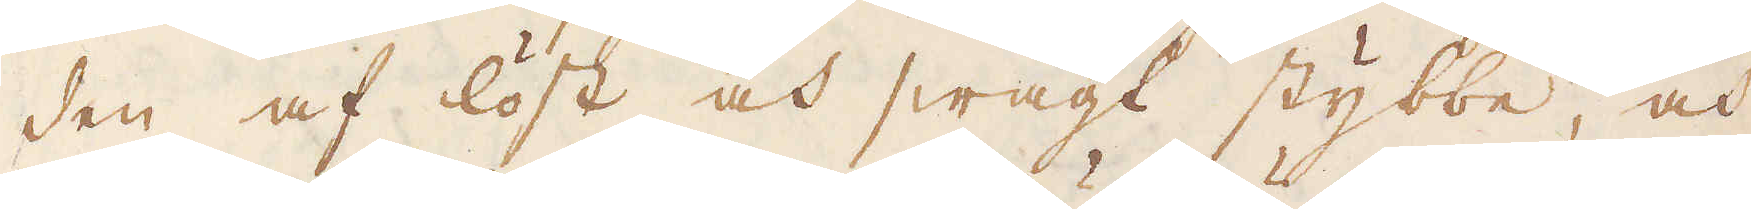den af löst och swagt stybbe, och
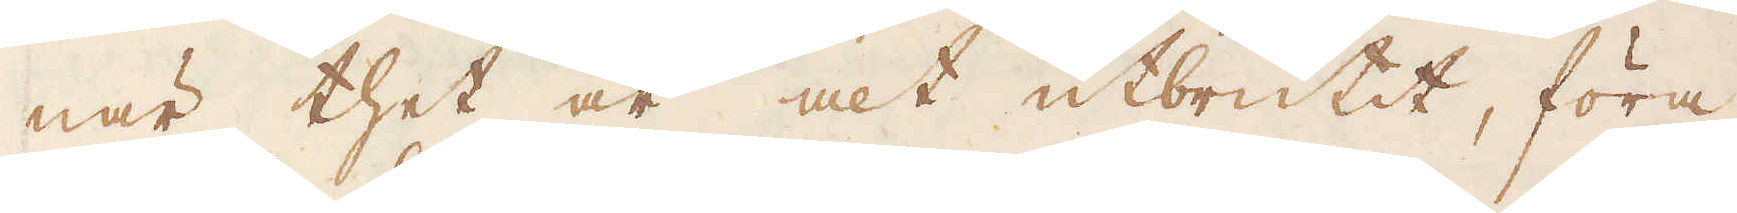när thet är alt utbrutit, föra
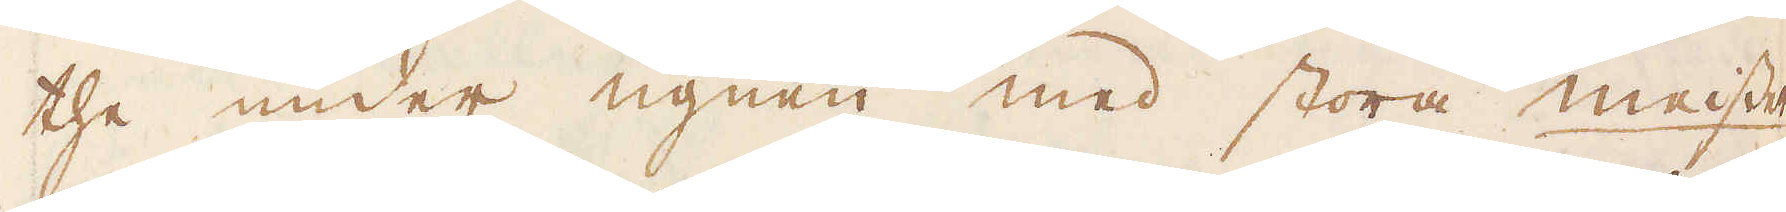the under ugnen med stora meisser
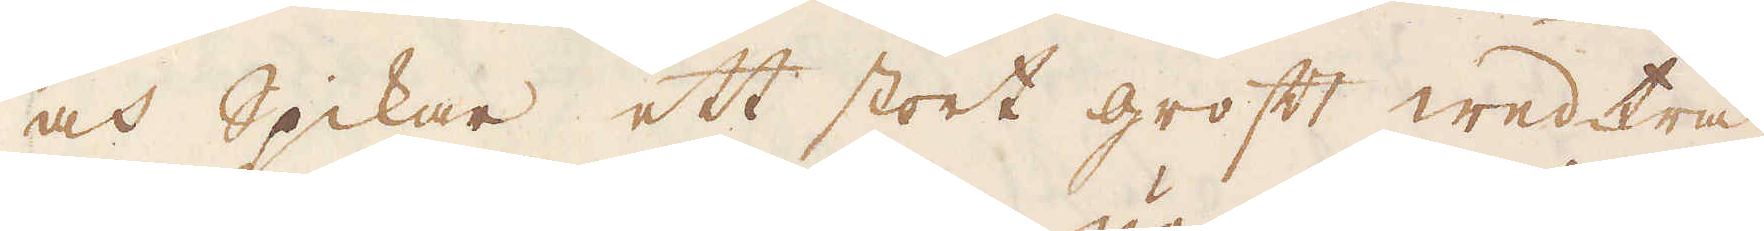och Spikar ett stort groft wedträ,
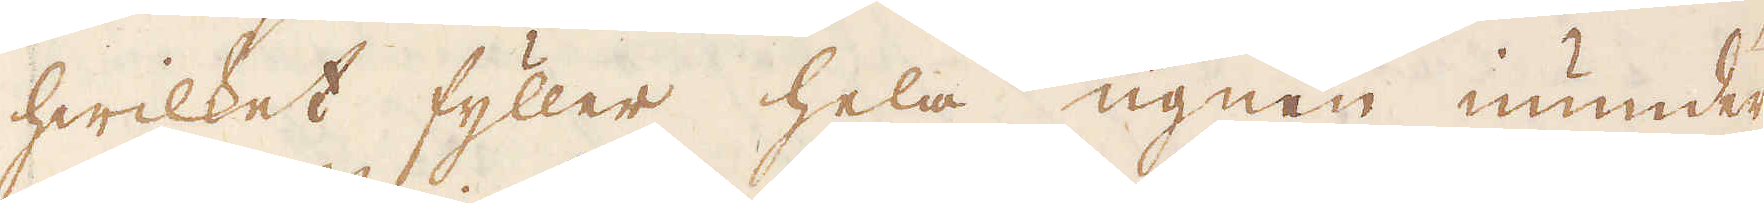hwilket fyller hela ugnen inunder,
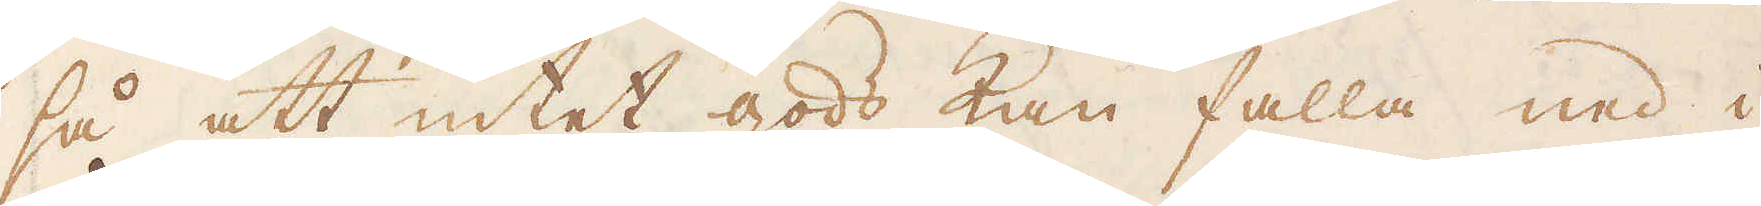så att intet gods kan falla ned i
